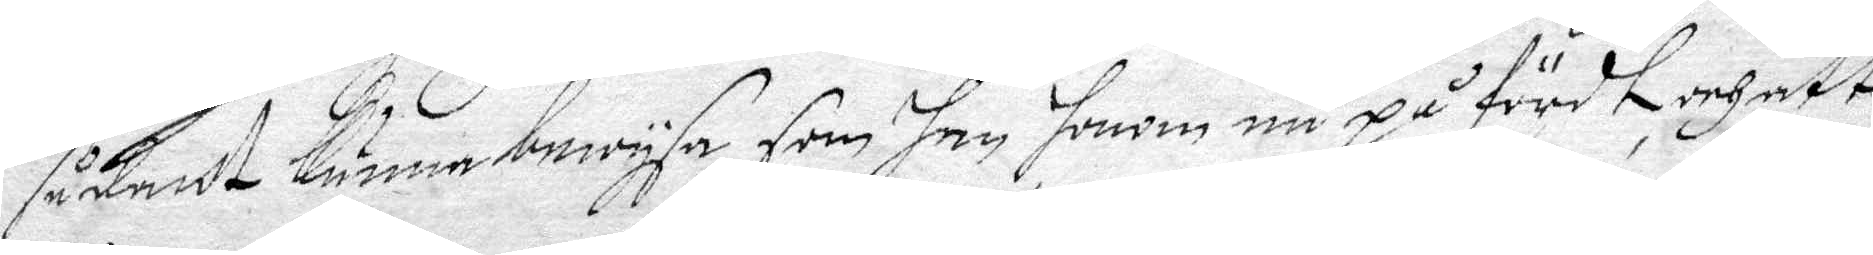sådandt kunna bewysa, som han honom nu på fördt och att 
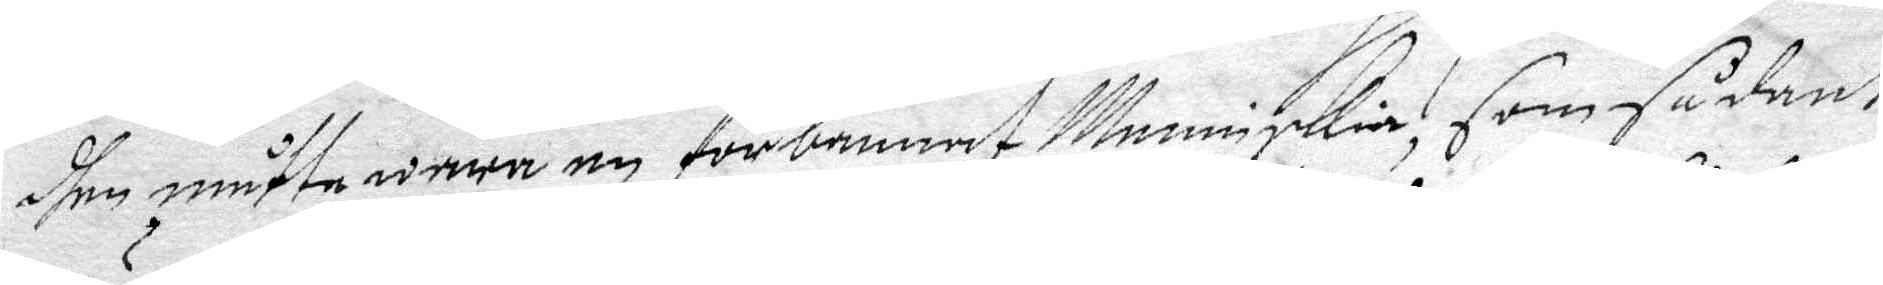dhen måtten wara en förbannat Menniskia, som sådant
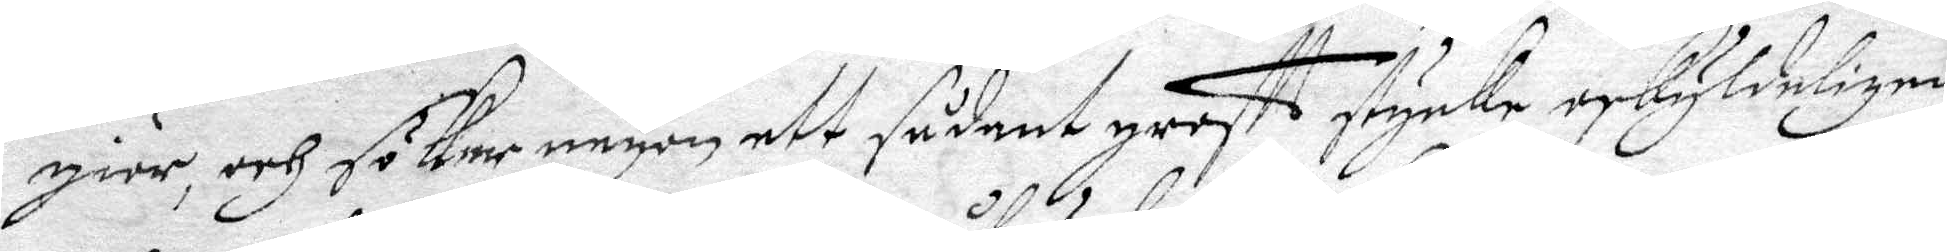giör, och söker någon ett sådant groftt stycke oskyldeligen,
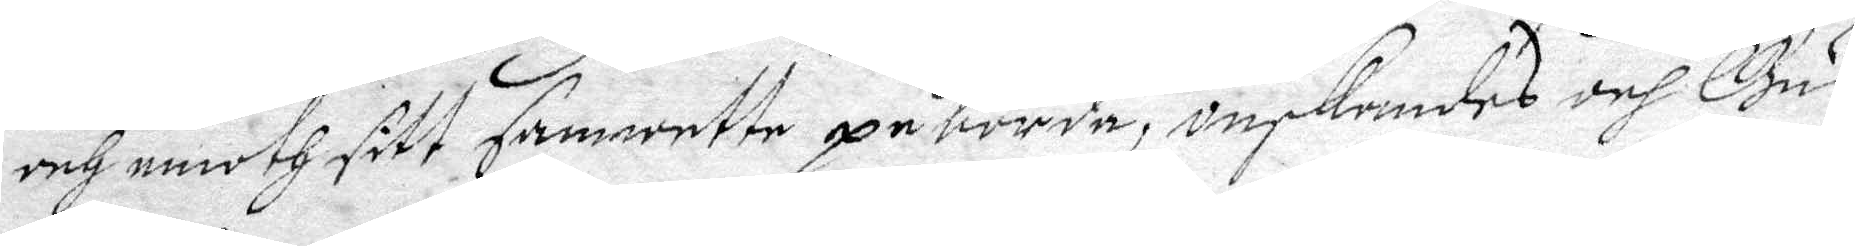och emoth sitt samwette påbörda, önskandes och Gudh
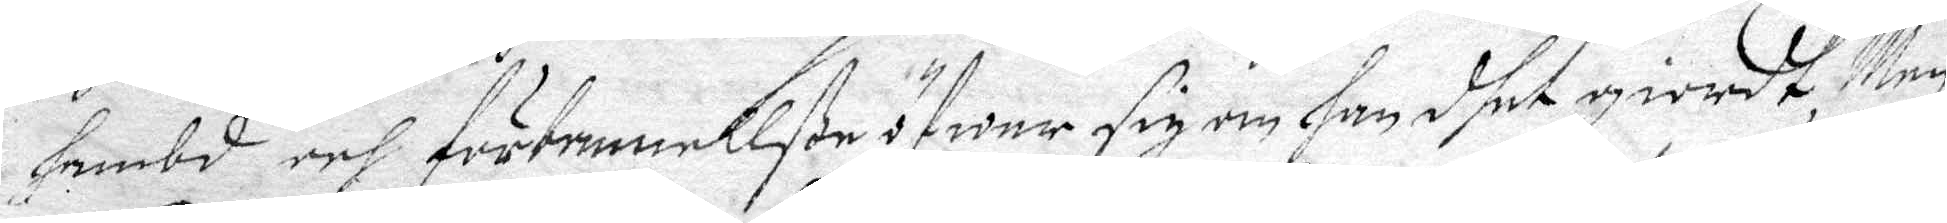hembd och förbannellße öfwer sig om han dhet giordt, Men
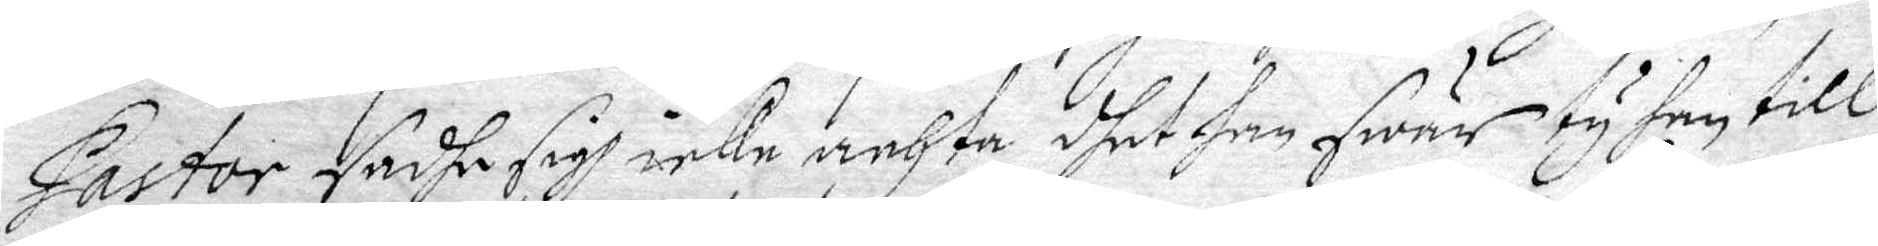Pastor sadhe sigh icke achta dhet han swär ty han till¬
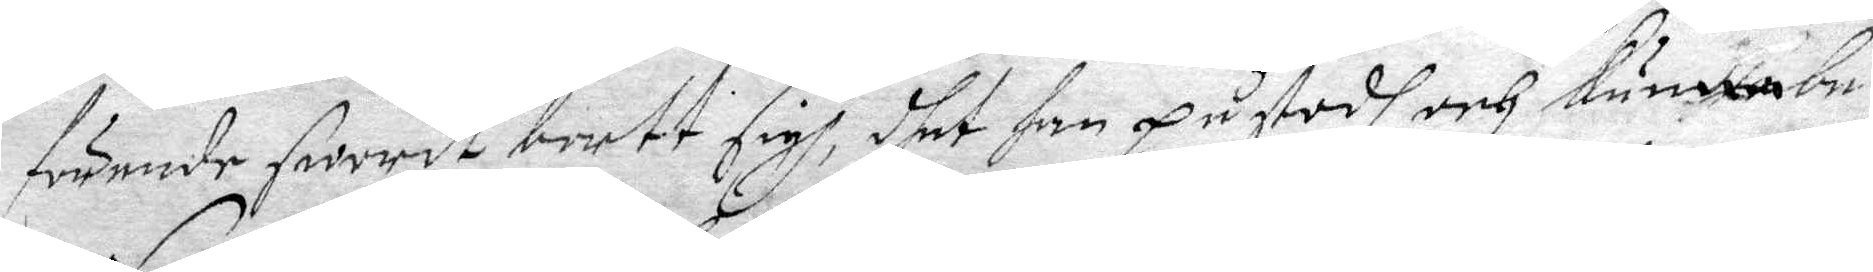förende sworit bortt sigh, dhet han påstodh och kunna be¬
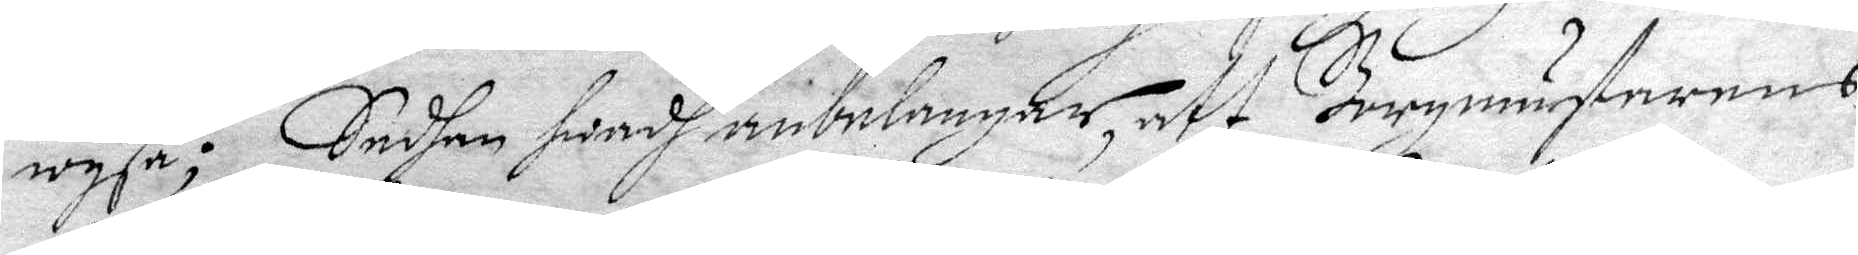wysa; Sedhan hwadh anbelangar, att Borgmästarens
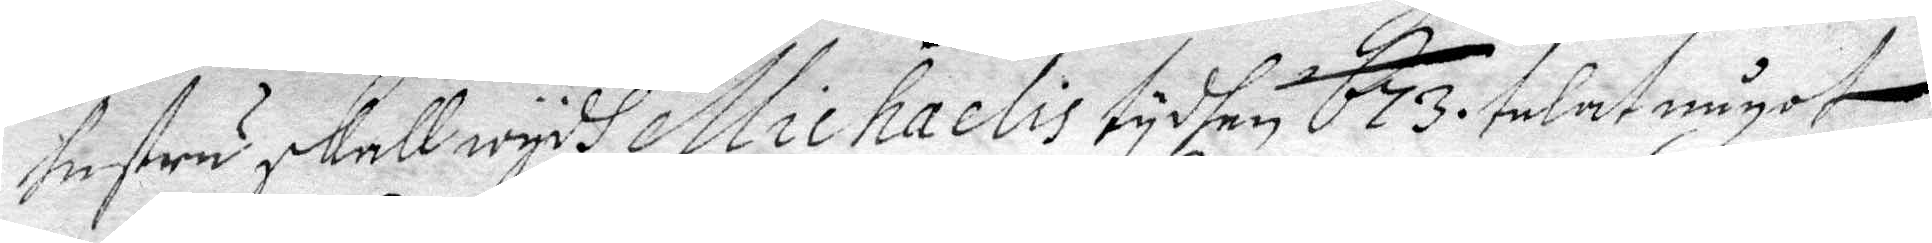hustru skall wydh Michaelis tydhen 673. talat något
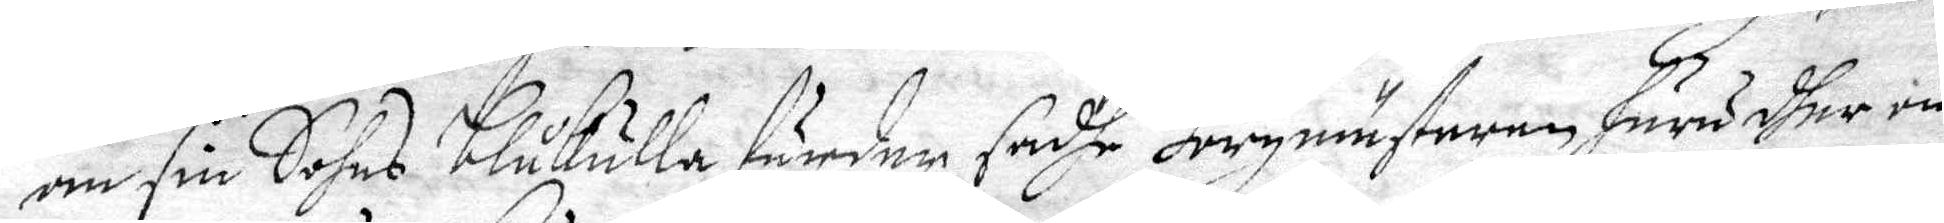om sin Sohns blåkulla färder sadhe Borgmästeren huru dher om
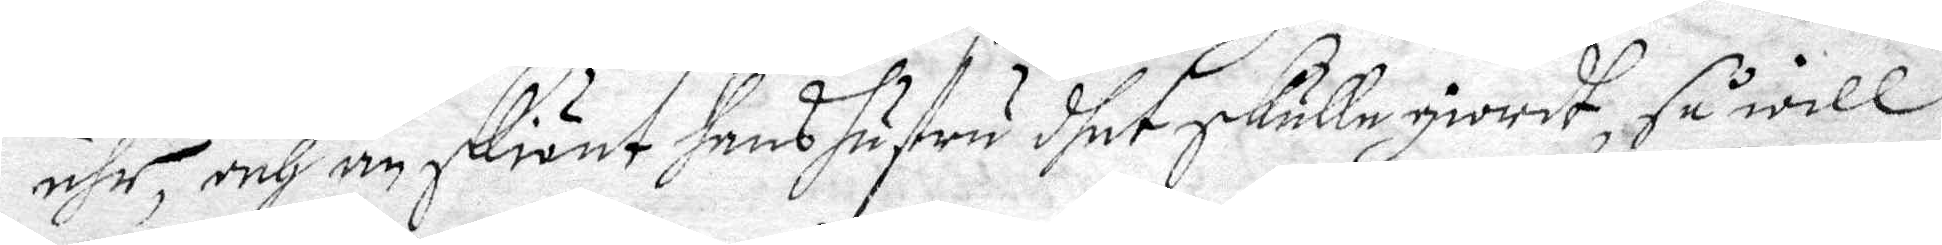ähr, och än skiönt hans hustru dhet skulle giordt, så will
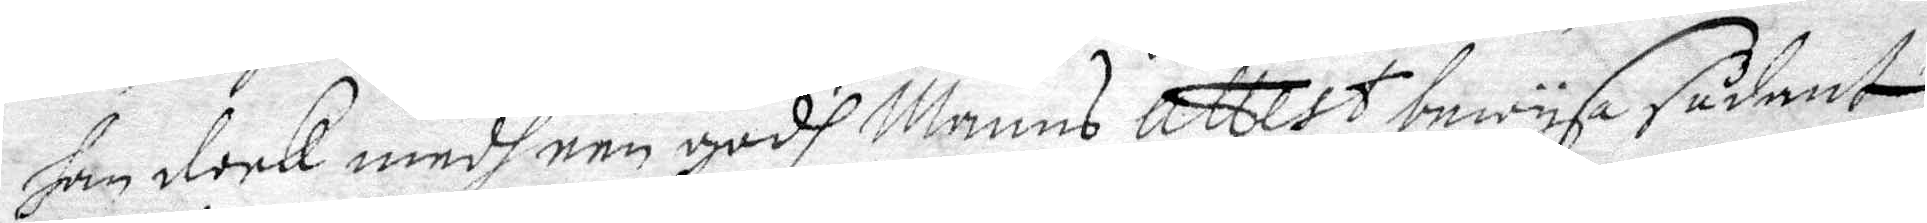han dockl medh een godh Manns attest bewysa sådant
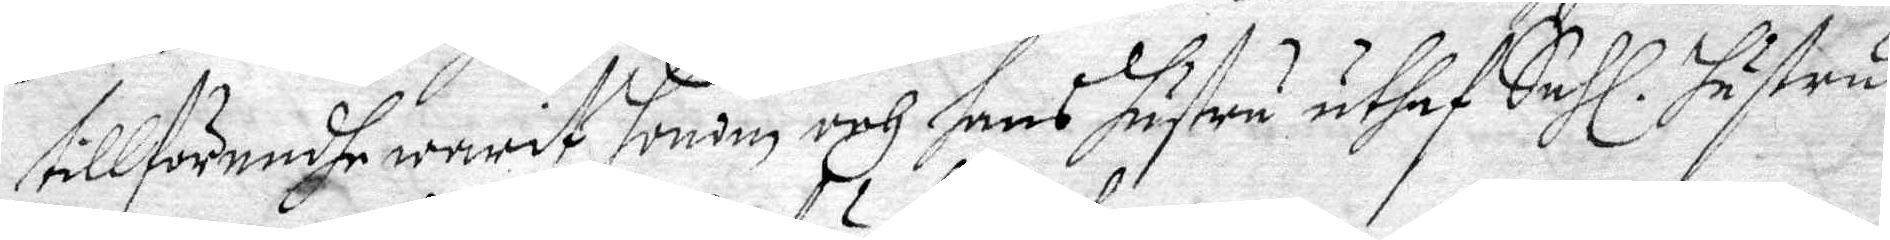tillförendhe warit honom och hans hustru uthaf Sahl. hustru
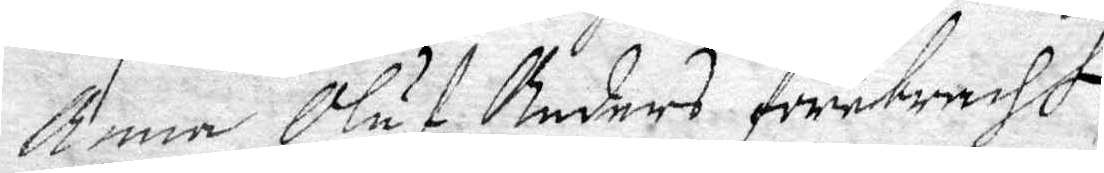Anna Oluf Anders förebracht.
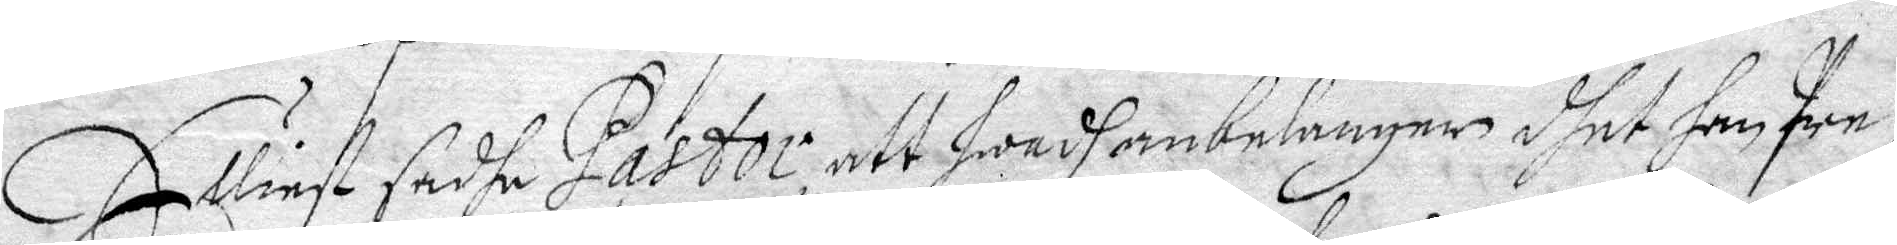Elliest sadhe Pastor att hwadh anbelangar, dhet han Pre¬
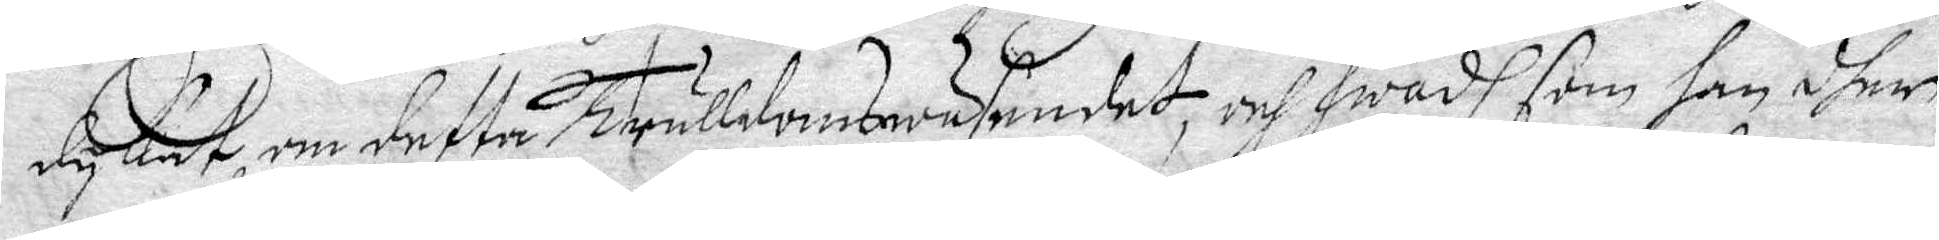dykat, om detta Trulldomswäsendet, och hwadh som han dher
